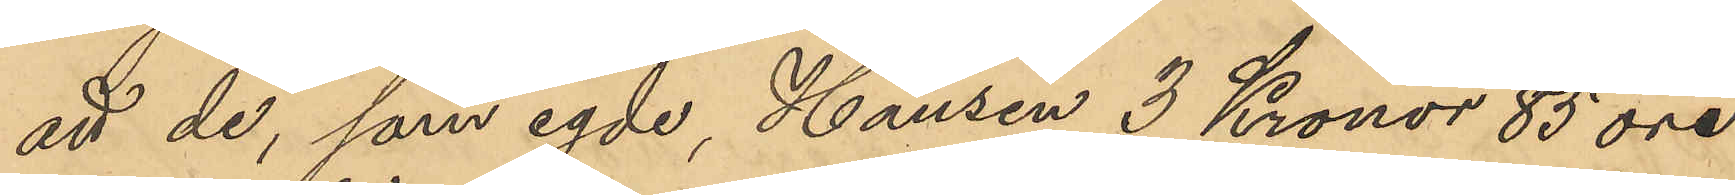att de, som egde, Hansen 3 Kronor 85 öre
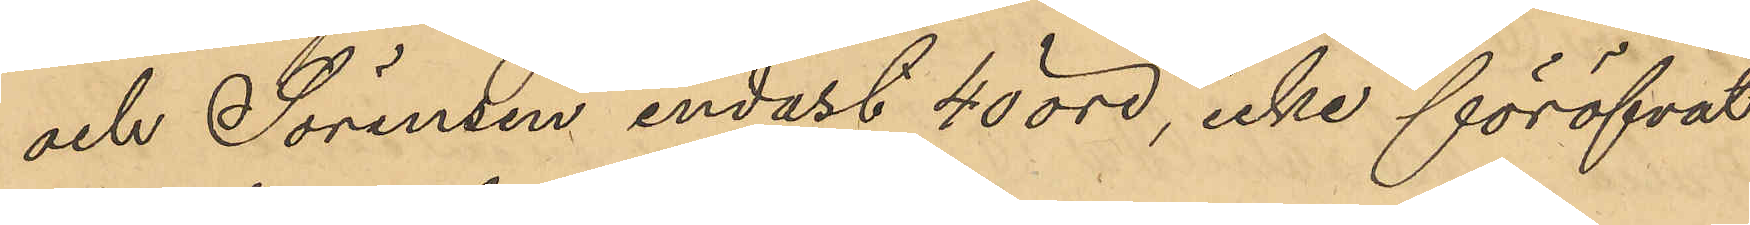och Sörensen endast 40 öre, icke föröfvat
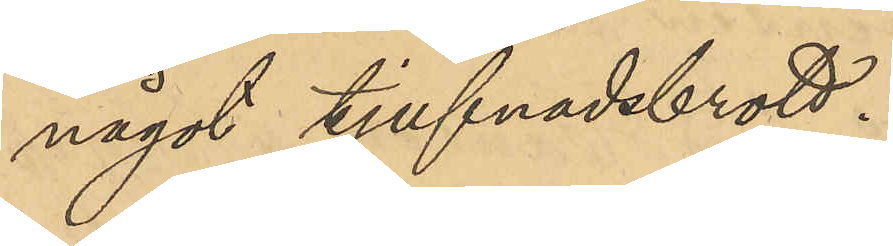något tjufnadsbrott.
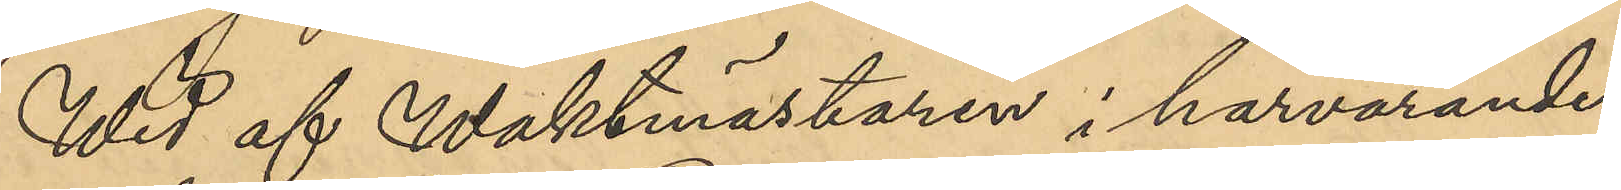Wid af Waktmästaren i härvarande
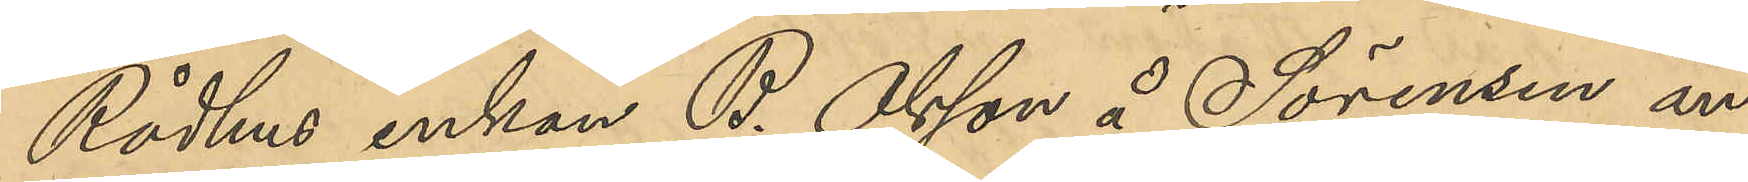Rådhus enkan B. Olsson å Sörensen an¬
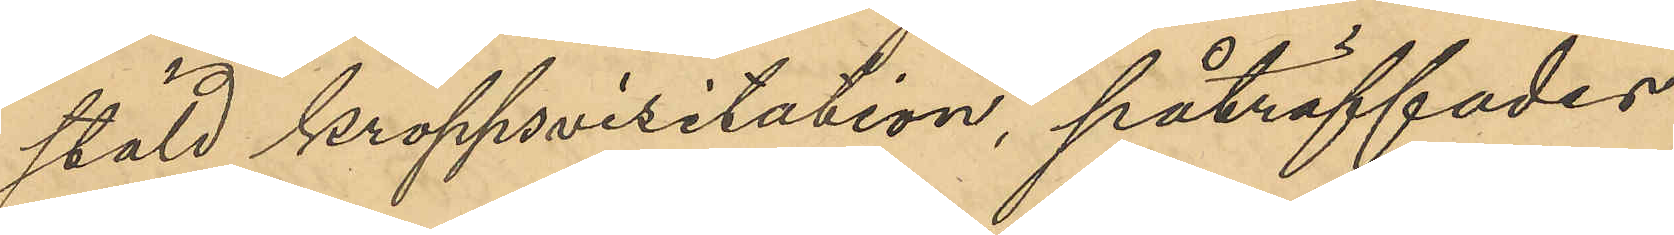stäld kroppsvisitation, påträffades
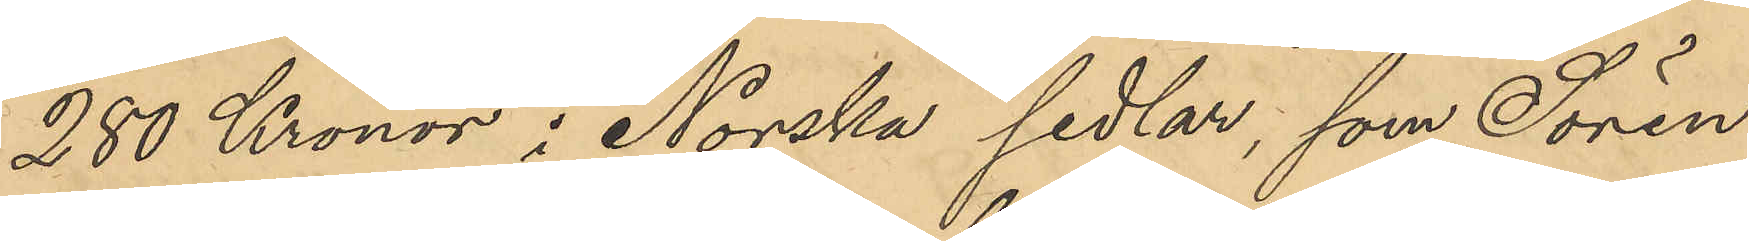280 Kronor i Norska sedlar, som Sören¬
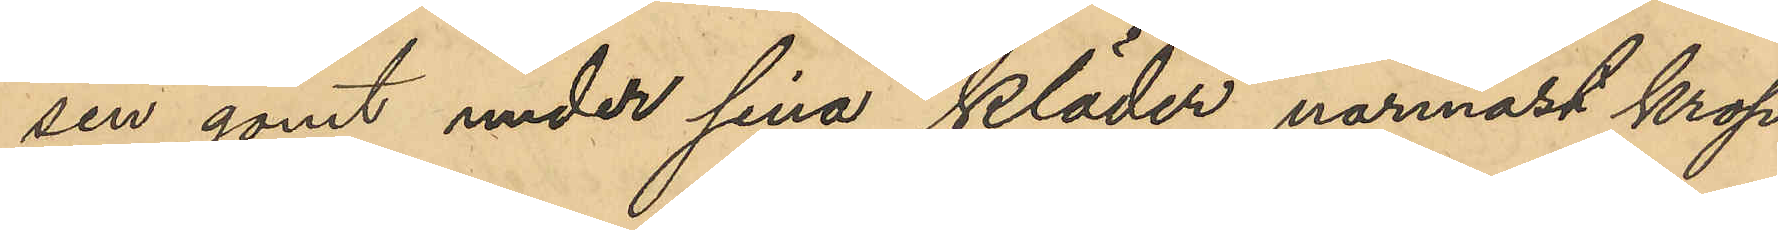sen gömt under sina kläder närmast krop¬
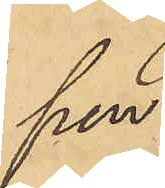pen.
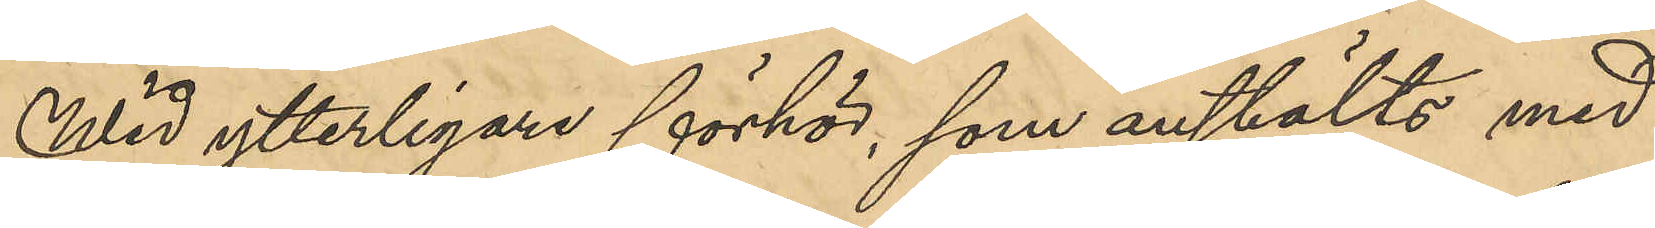Wid ytterligare förhör, som anstälts med
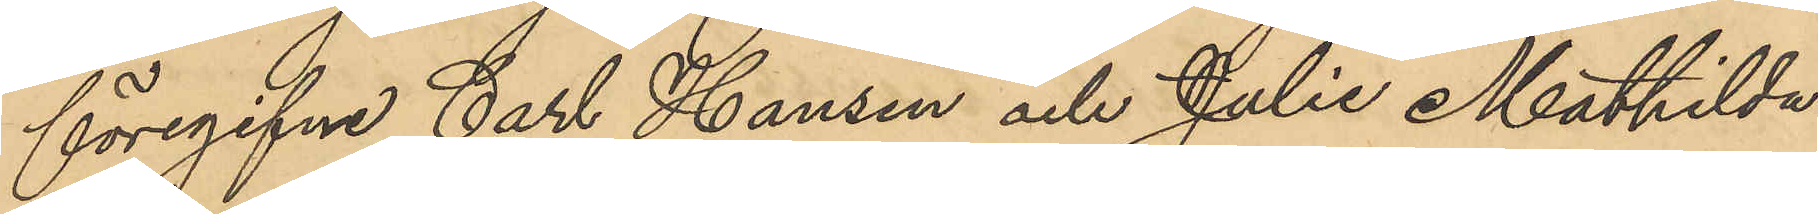föregifne Carl Hansen och Julie Mathilda
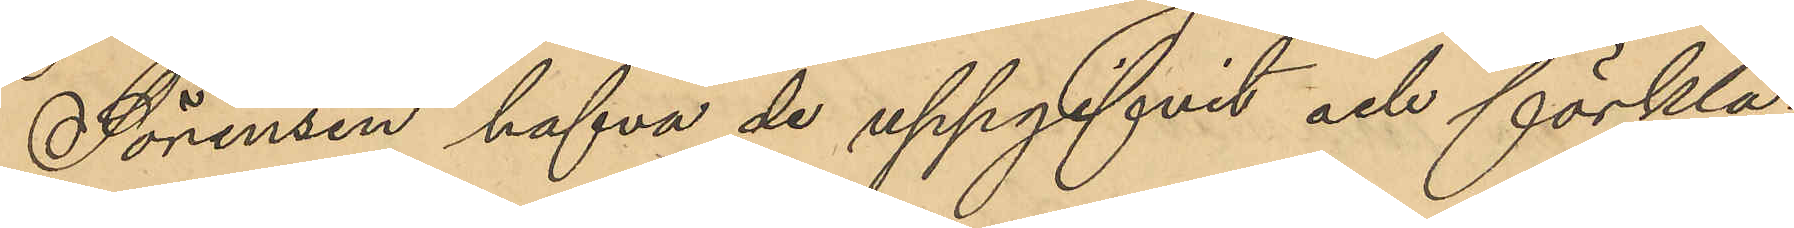Sörensen hafva de uppgifvit och förkla¬
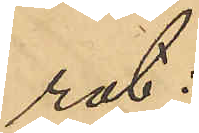rat.
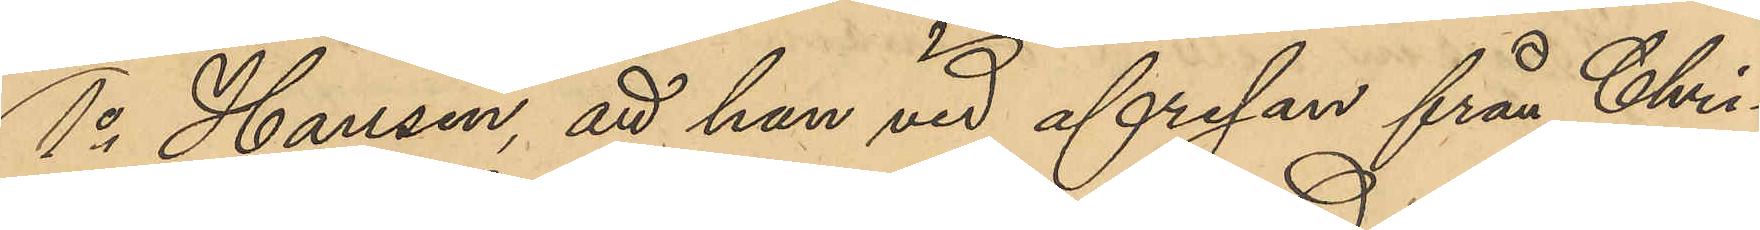1o Hansen, att han vid afresan från Chri¬
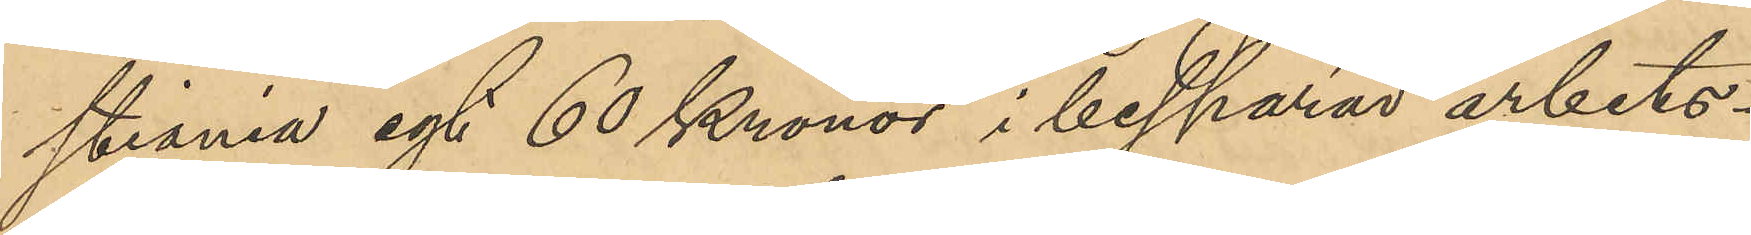stiania egt 60 Kronor i besparad arbets¬
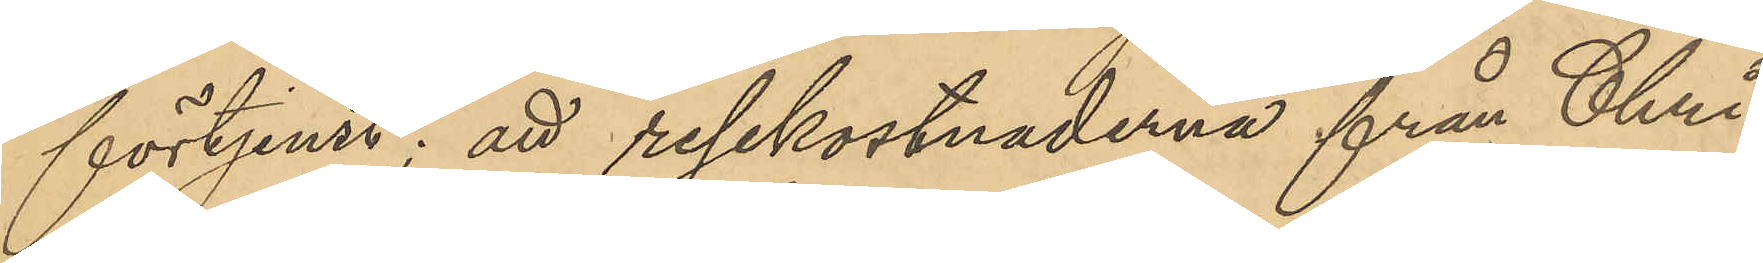förtjenst; att resekostnaderna från Chri¬
